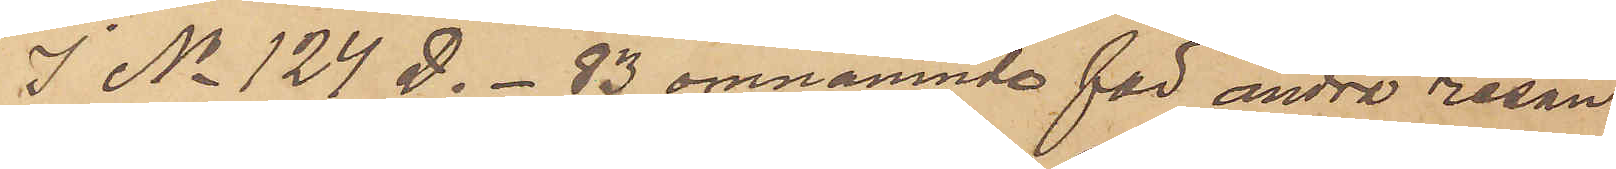I No 124 D. - 83 omnämnde för andra resan
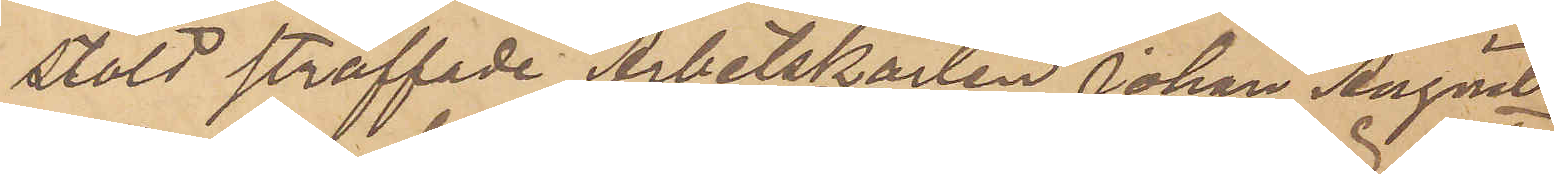stöld straffade Arbetskarlen Johan August
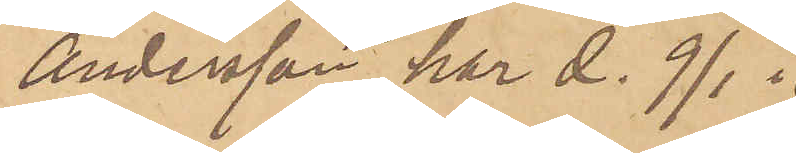Andersson har d. 9/1
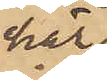här
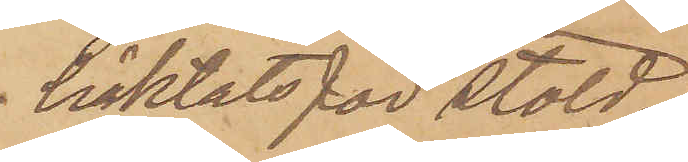häktats för stöld.
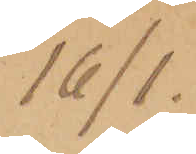16/1.
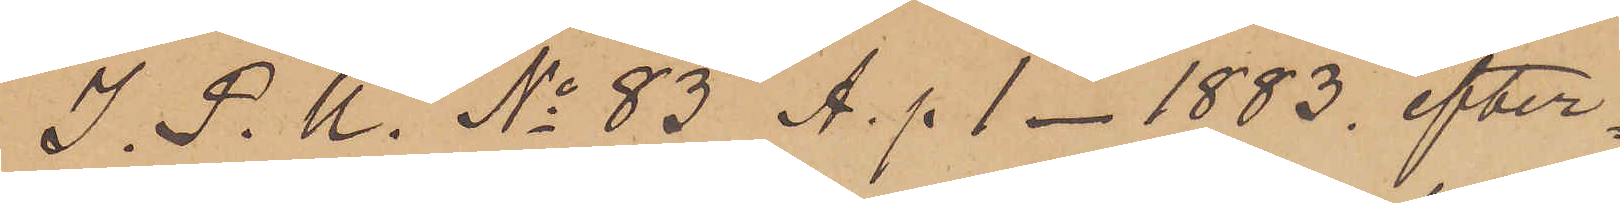I. P. U. No 83 A. p 1 - 1883. efter¬
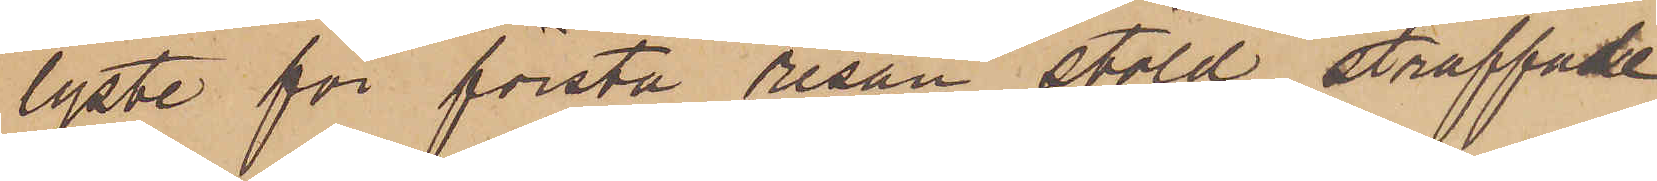lyste för första resan stöld straffade
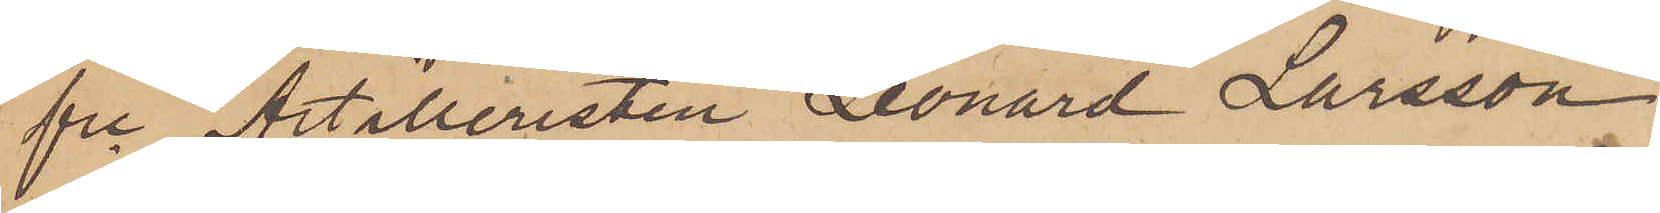fre Artilleristen Leonard Larsson
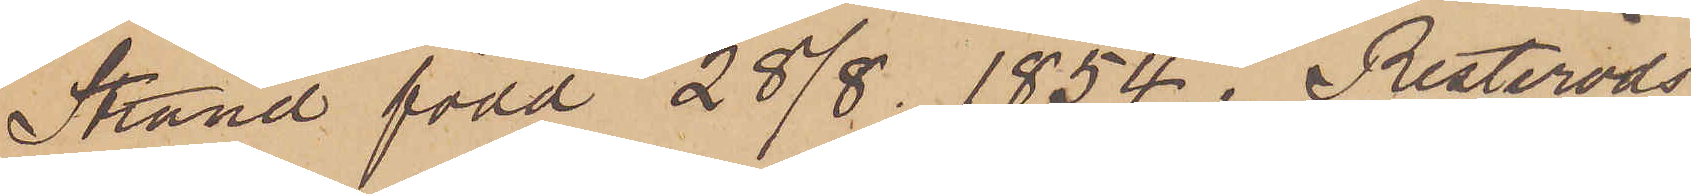Strand född 28/8 1854 i Resteröds
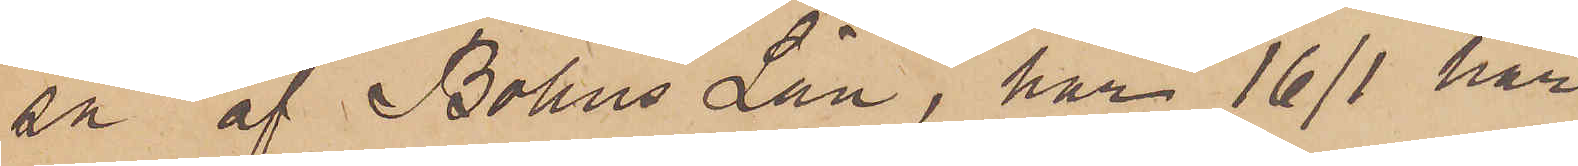sn af Bohus Län, har 16/1 här
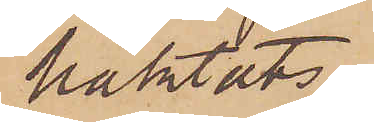häktats.
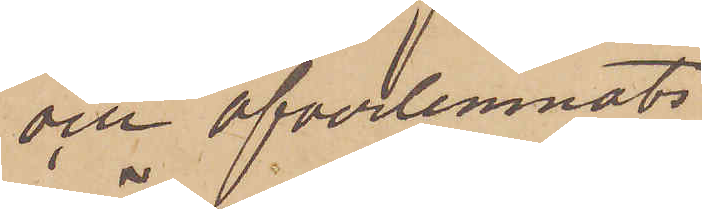och öfverlemnats
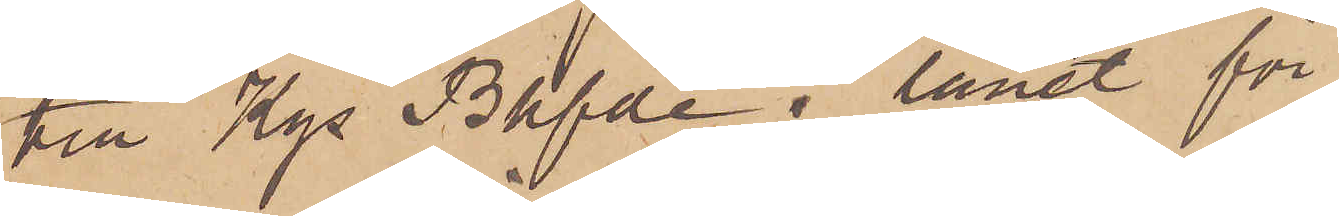till Kgs Bhfde i länet för
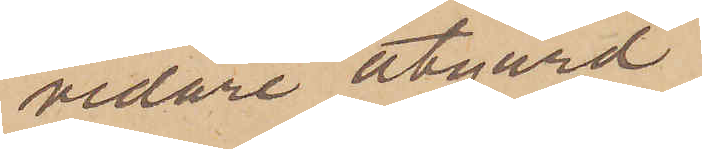vidare åtgård.
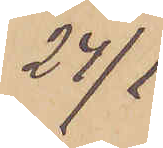24/1
